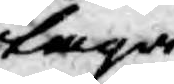taga
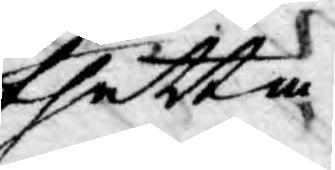thetta
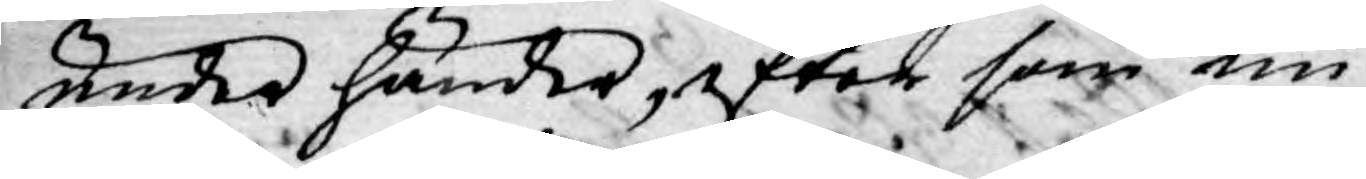under händer, efter som nu
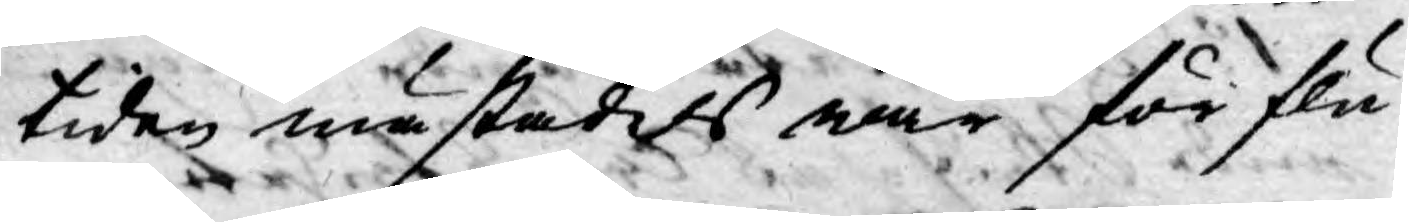tiden mästadels war förflu¬
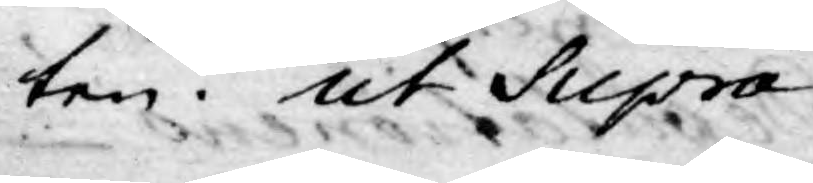ten. ut Supra.
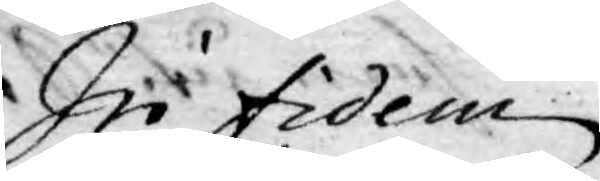In fidem
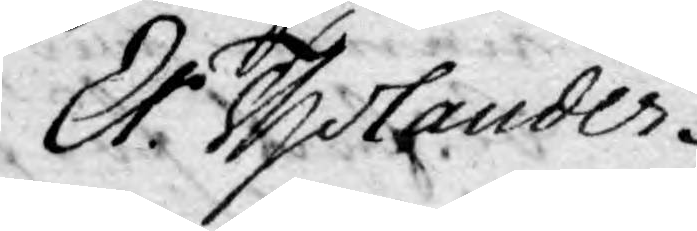Er. Tholander
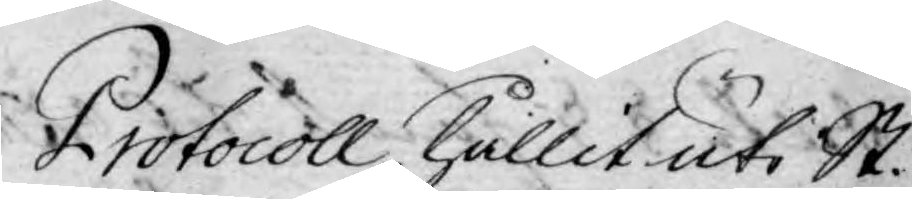Protocoll hållit uti St.
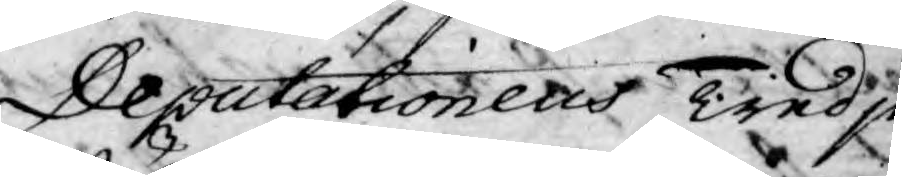Deputationens Tredje
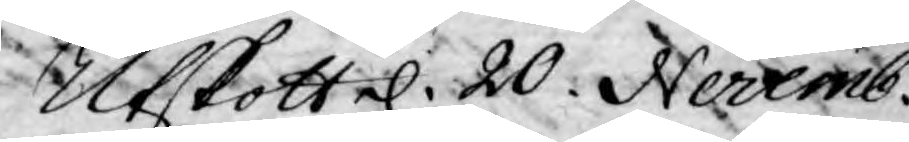Utskotte. d. 20. Novemb.
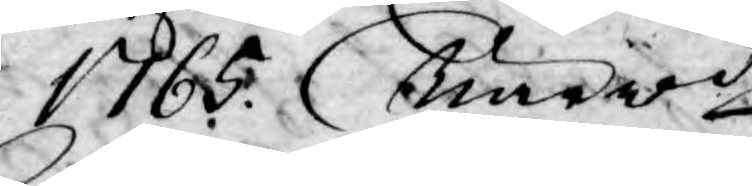1765. Närwde
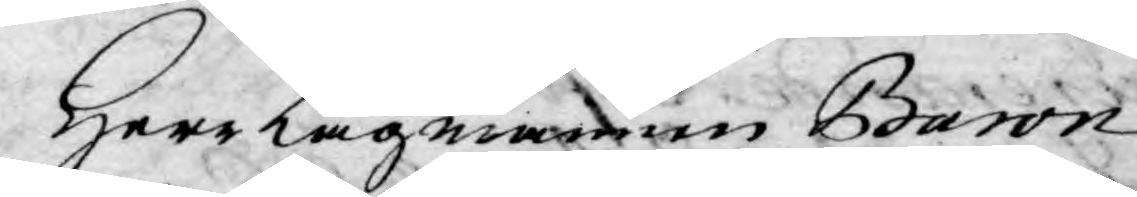Herr Lagmannen Baron
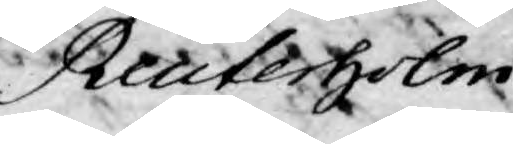Reuterholm,
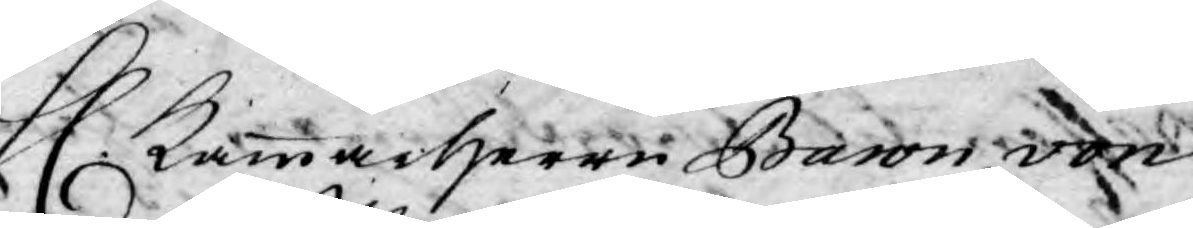H. Kammarherre Baron von
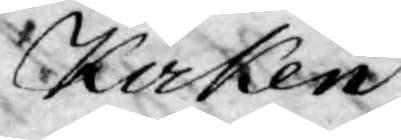Kocken,
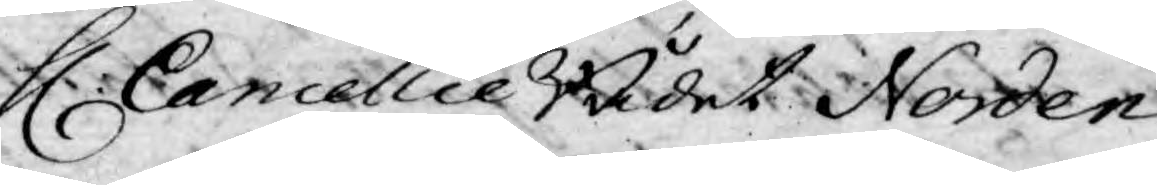H. Cancellie Rådet Norden¬
